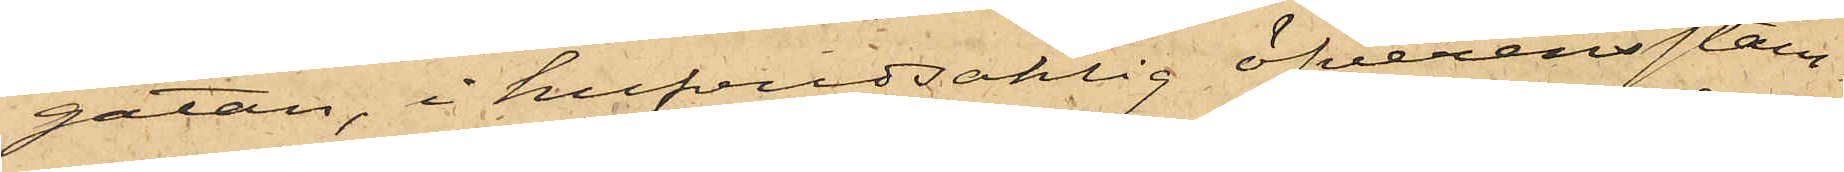gatan, i hufvudsaklig öfverensstäm¬
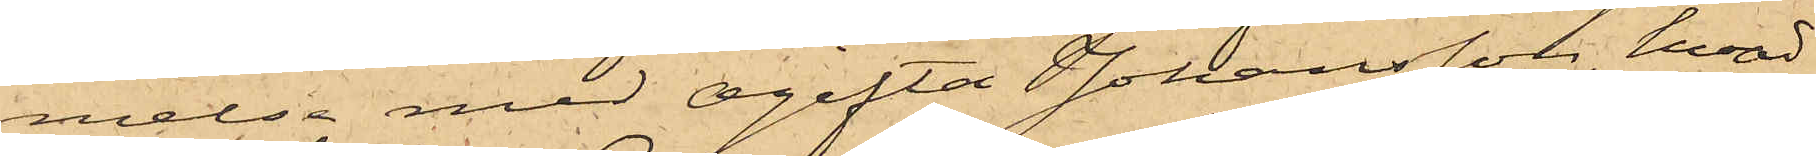melse med ogifta Johansson, hvad
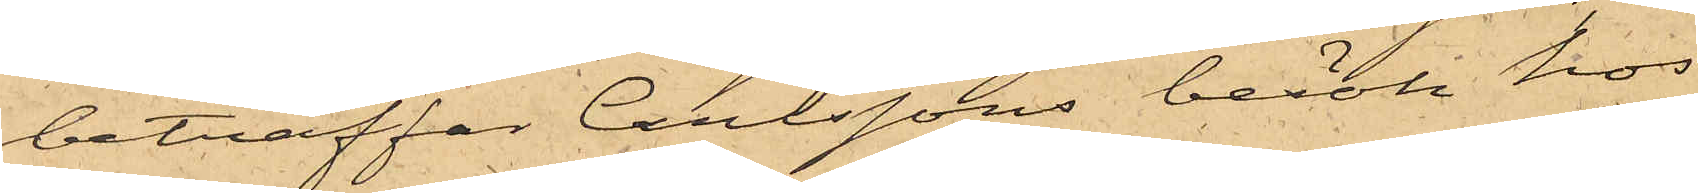beträffat Carlssons besök hos
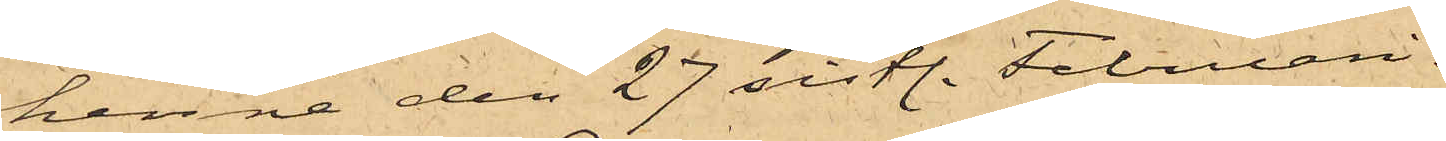henne den 27 sistl. Februari.
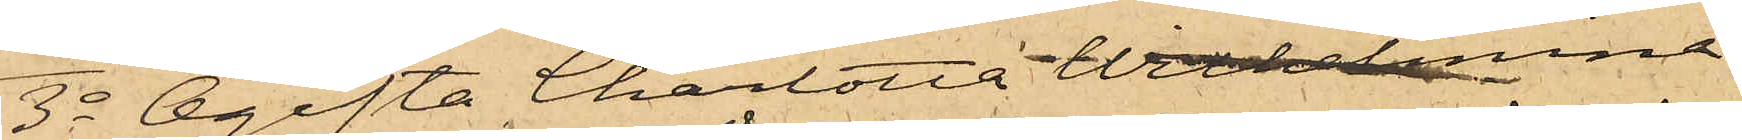3o Ogifta Charlotta Wilhelmina
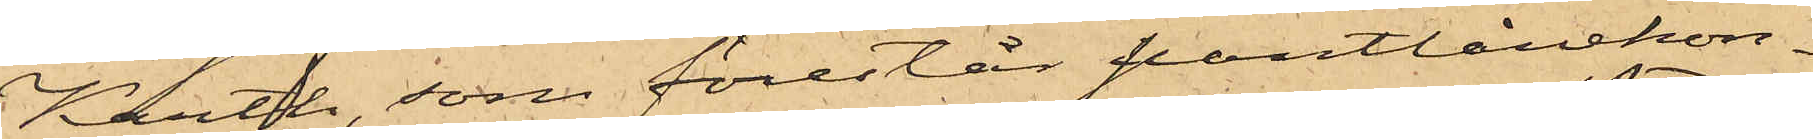Karth, som förestår pantlånekon¬
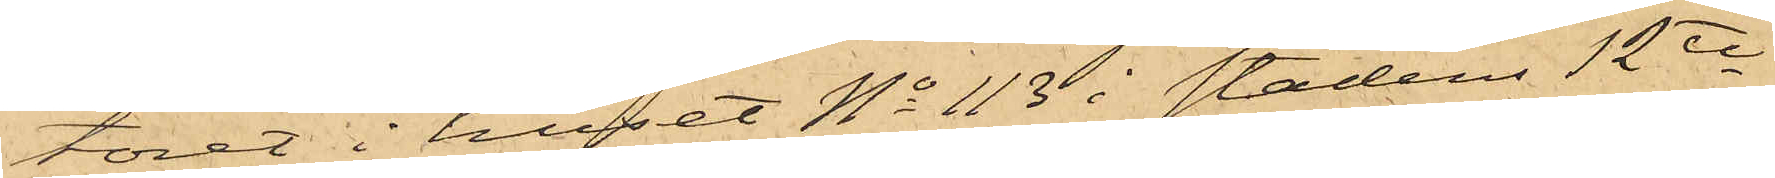toret i huset No 113 i stadens 12te
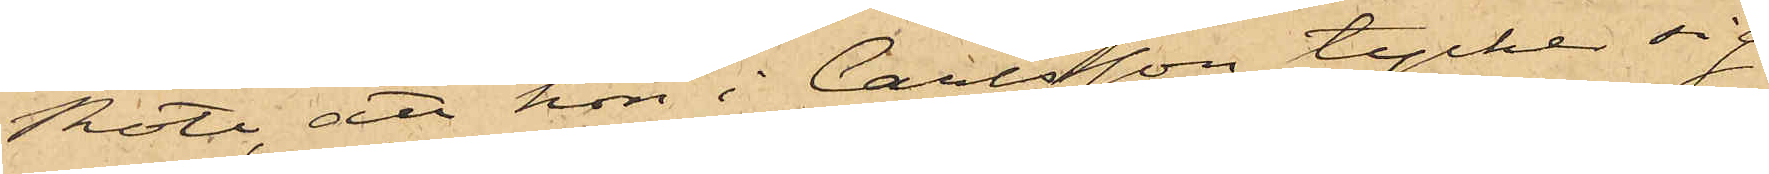Rote, att hon i Carlsson tycker sig
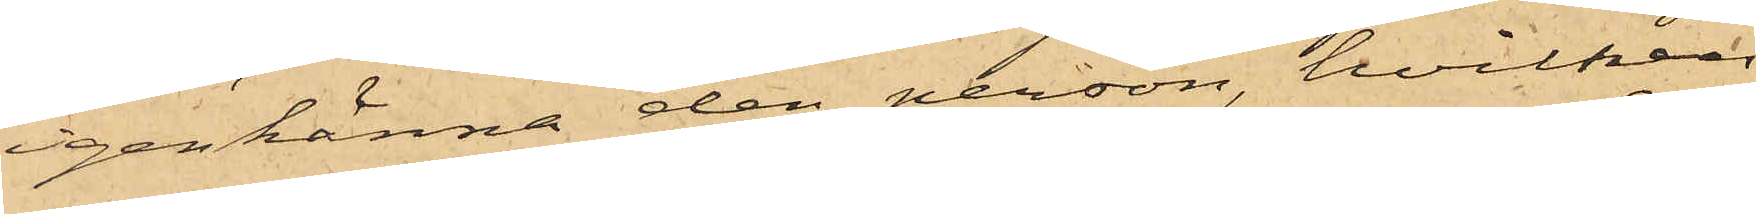igenkänna den person, hvilken
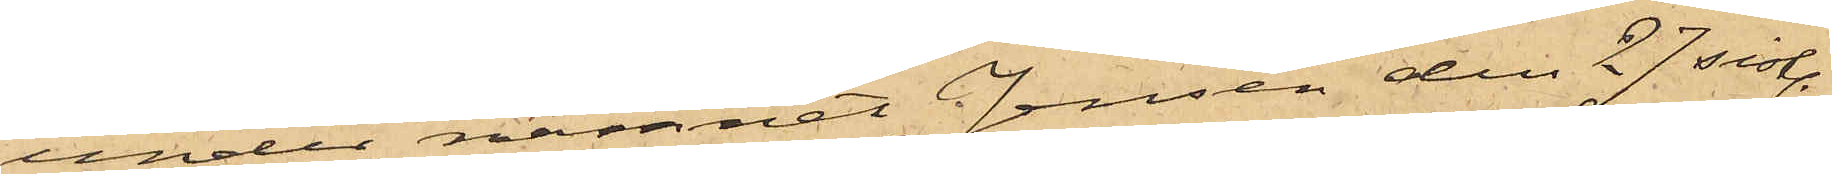under namnet Jensen den 27 sistl.
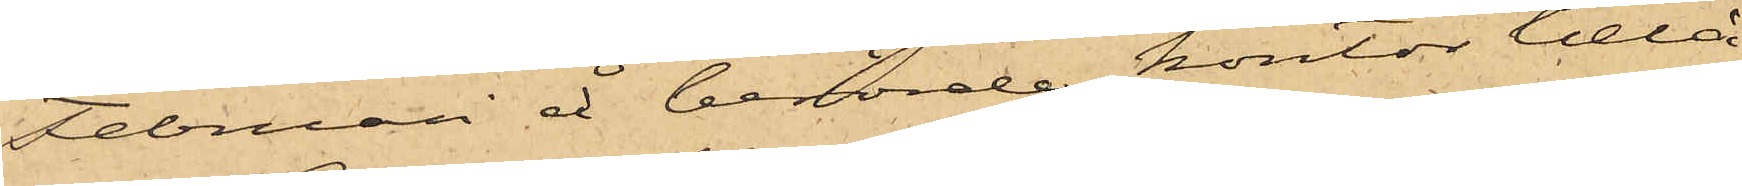Februari å berörde kontor belå¬
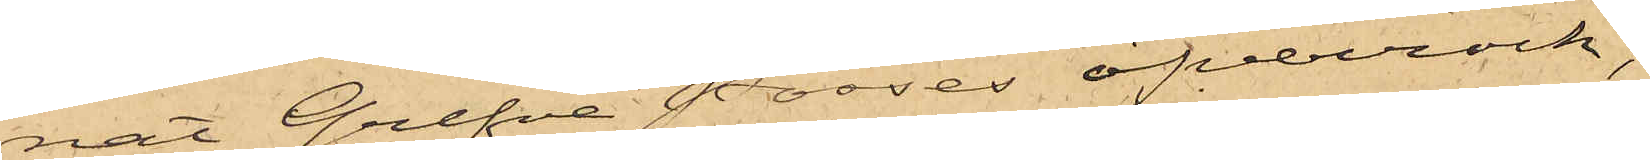nat Grefve Posses öfverrock;
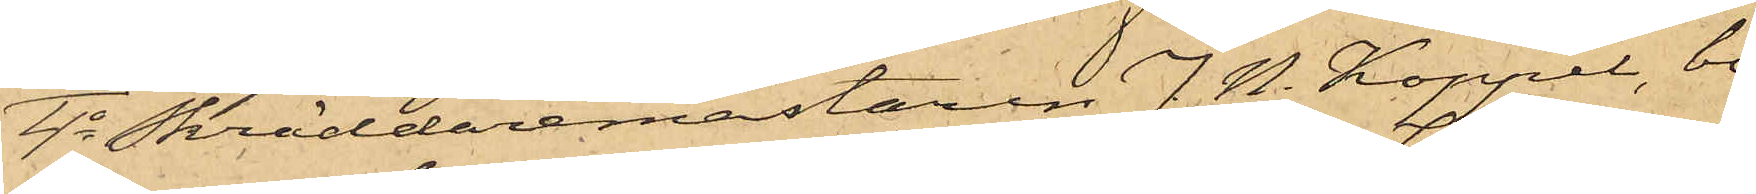4o Skräddaremästaren J. N. Koppel, bo¬
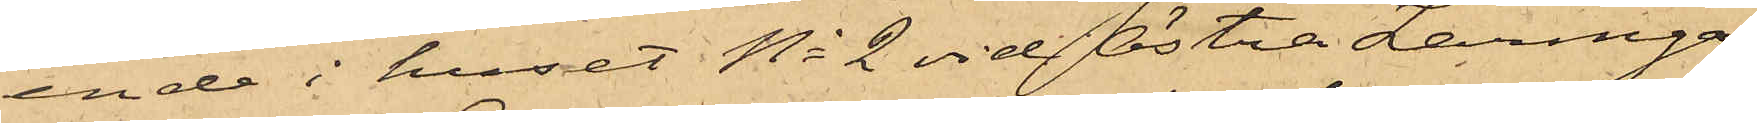ende i huset No 2 vid Östra Larmga¬
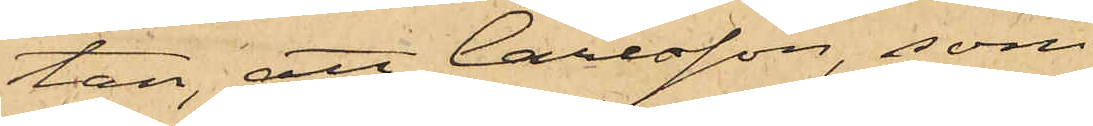tan; att Carlsson, som
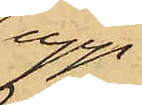upp¬
